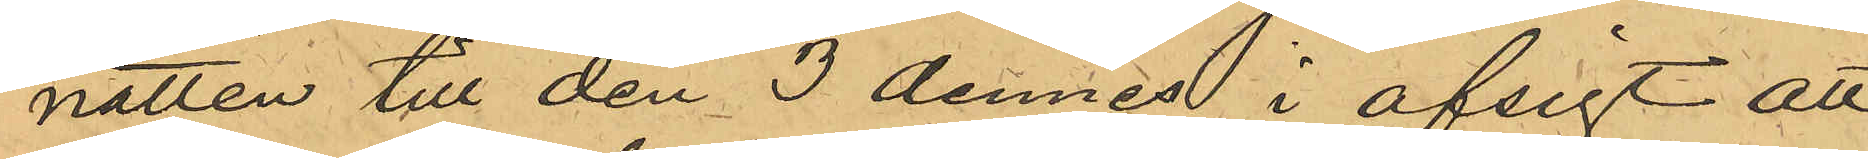natten till den 3 dennes i afsigt att
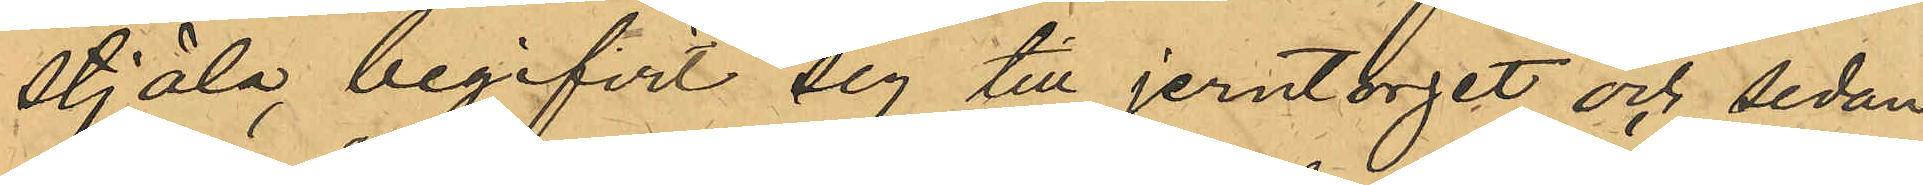stjäla, begifvit sin till jerntorget och sedan
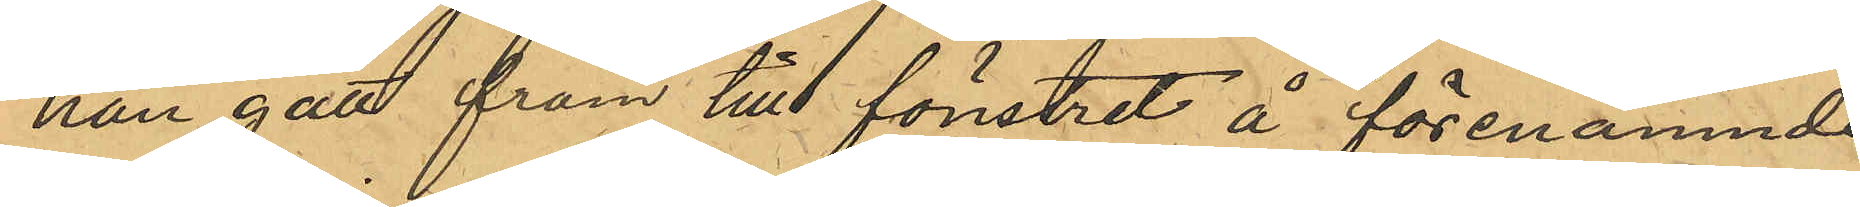han gått fram till fönstret å förenämnde
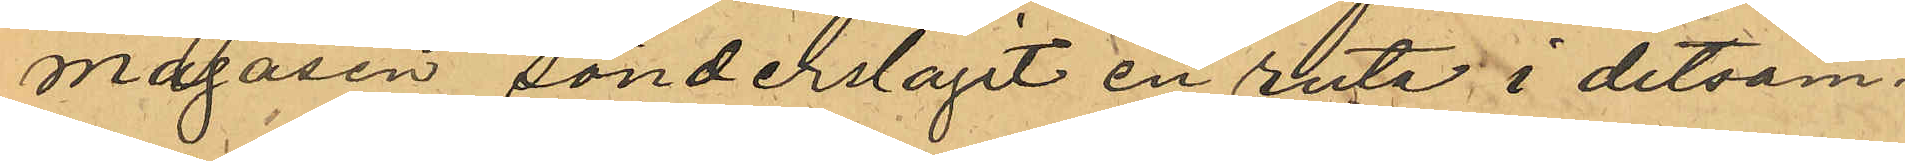magasin sönderslagit en ruta i detsam¬
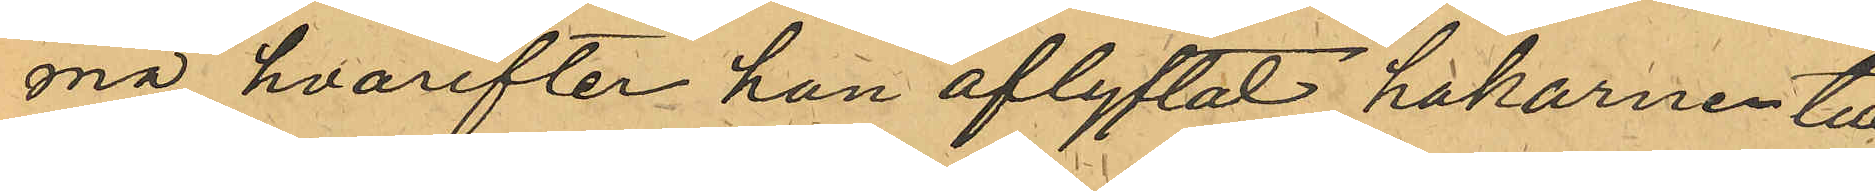ma, hvarefter han aflyftat hakarne till
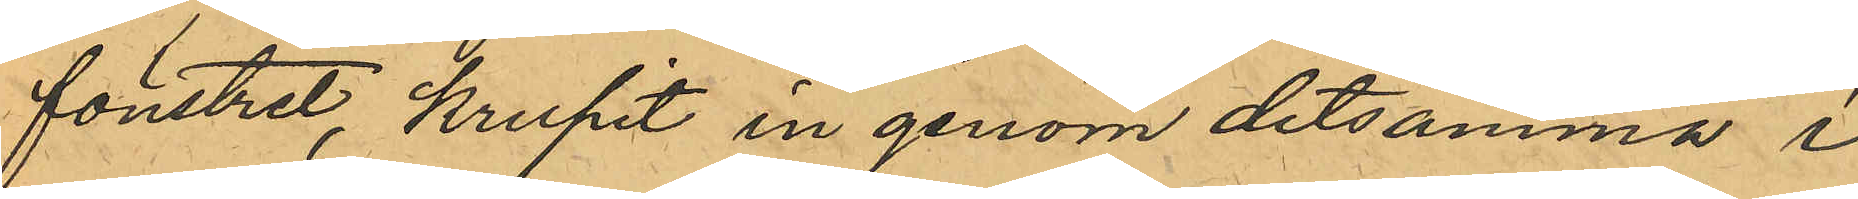fönstret, krupit in genom detsamma i
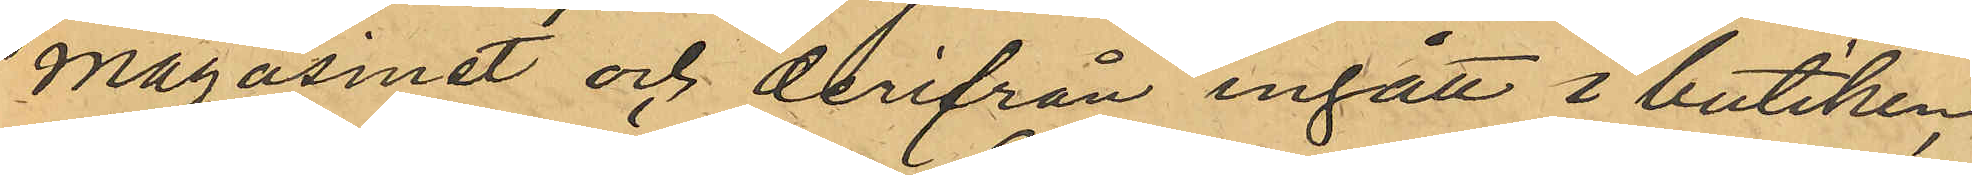magasinet och derifrån ingått i butiken,
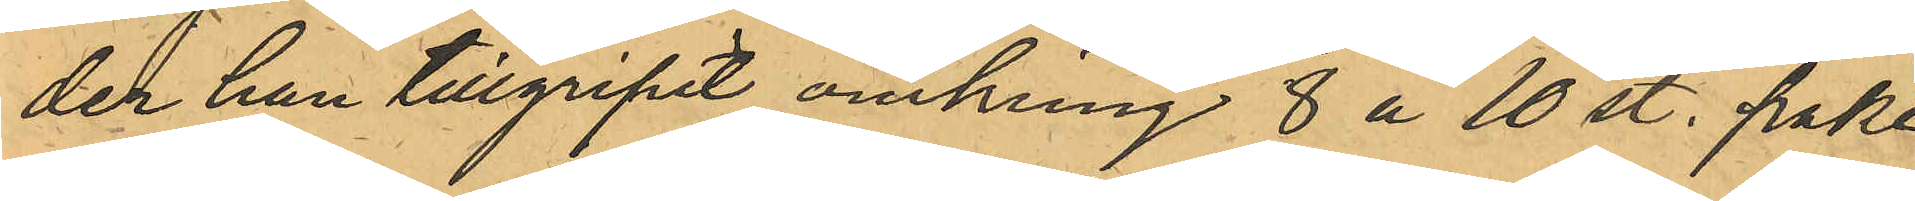der han tillgripit omkring 8 à 10 st. pake¬
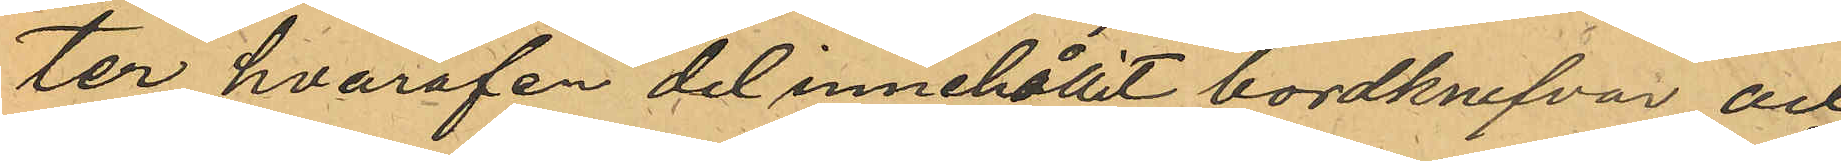ter hvaraf en del innehållit bordknifvar och
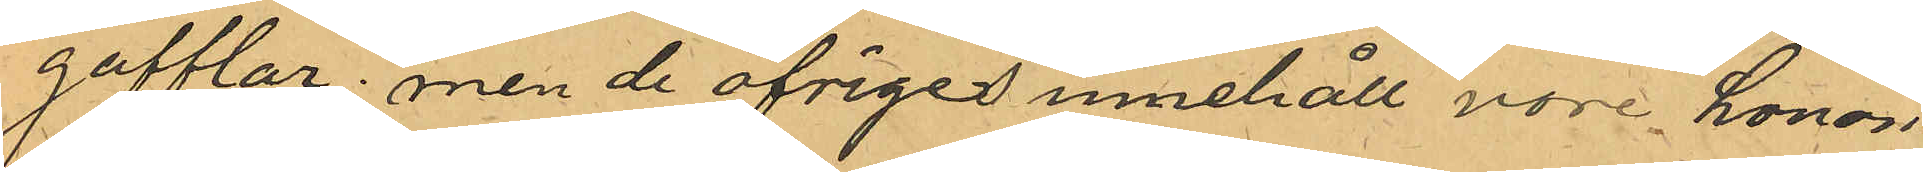gafflar; men de öfriges innehåll vore honom
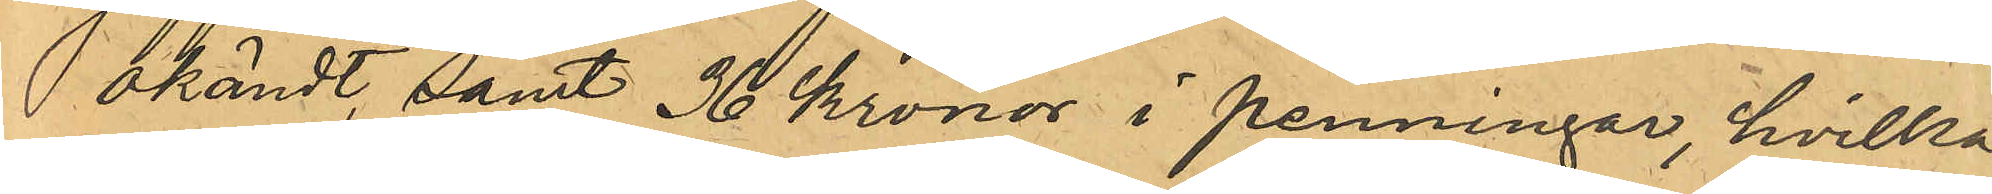okändt, samt 36 Kronor i penningar hvilka
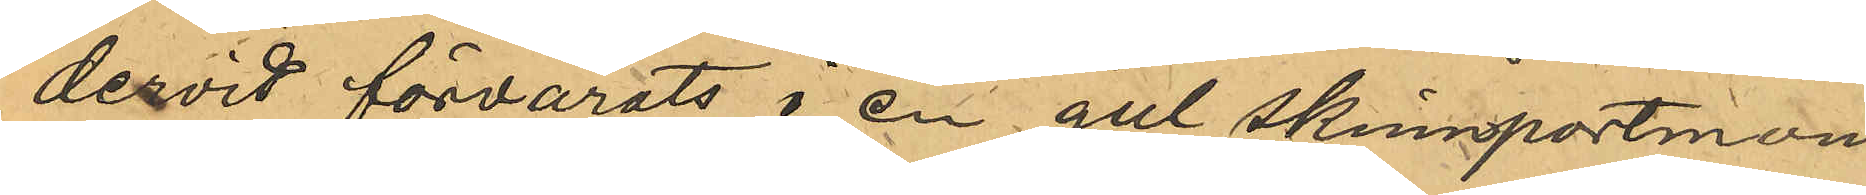dervid förvarats i en gul skinnportmon¬
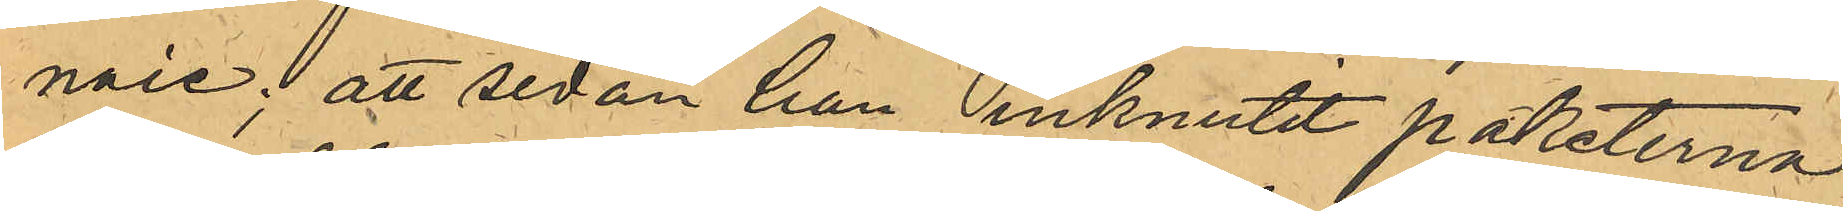naie; att sedan han inknutit paketerna
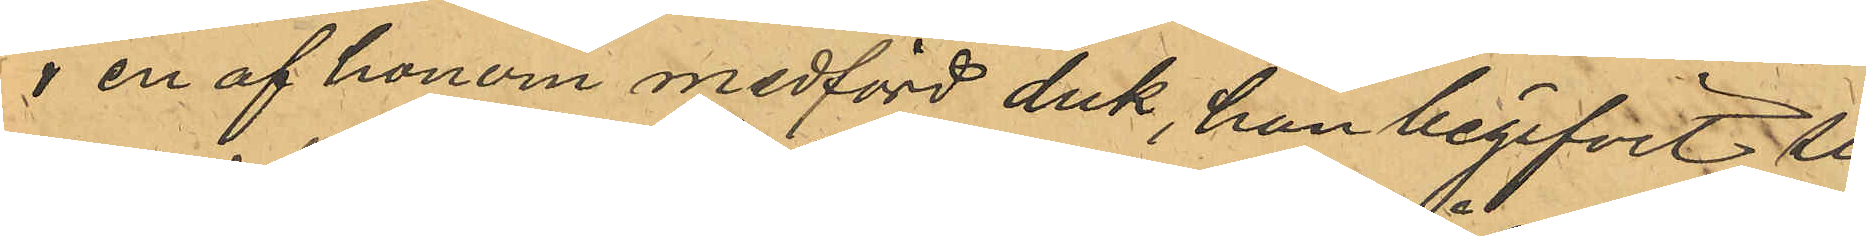i en af honom medförd duk, han begifvit sig
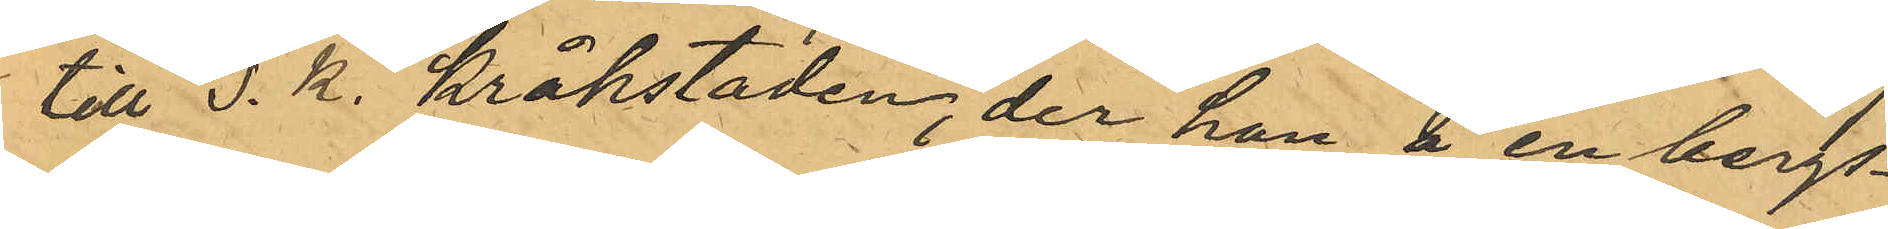till s. k. Kråkstaden, der han å en bergs¬
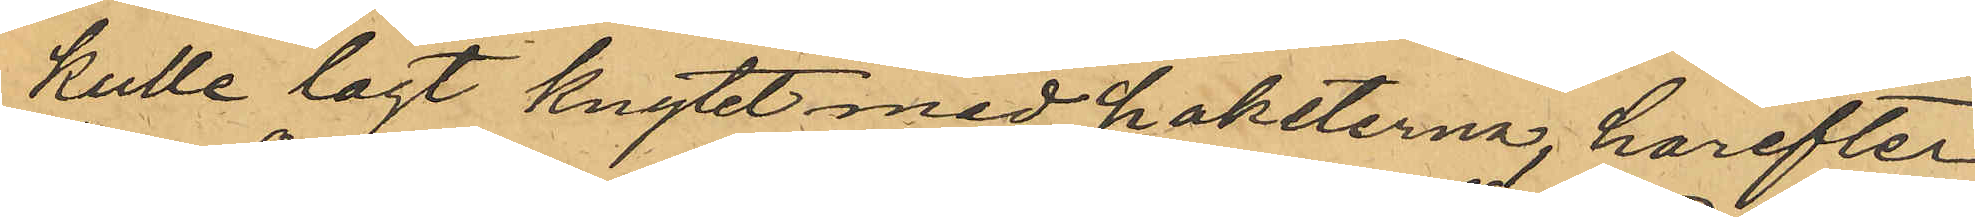kulle lagt knytet med paketerna, harefter
